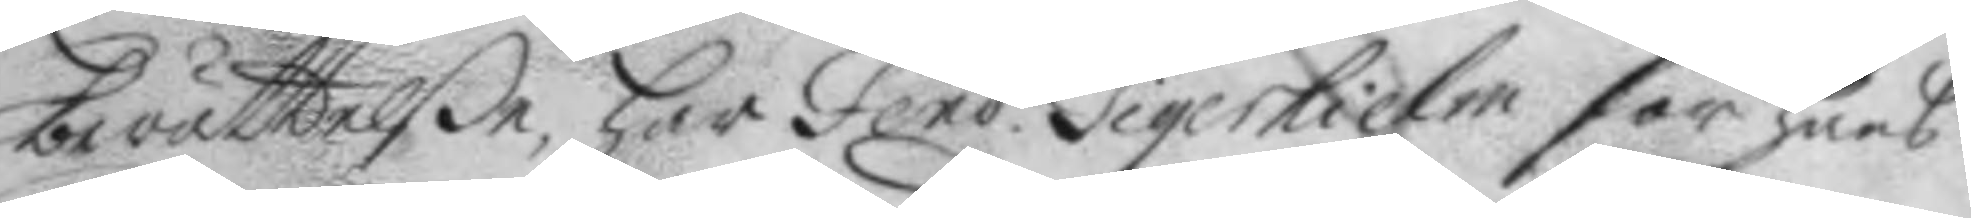berättelße, har Fend. Tigerhielm för hans
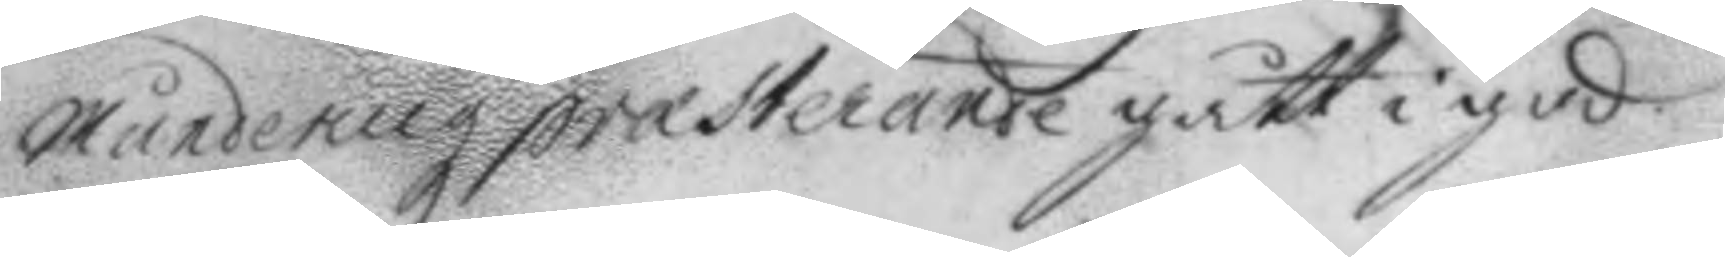Munderingz præsterande gått i god.
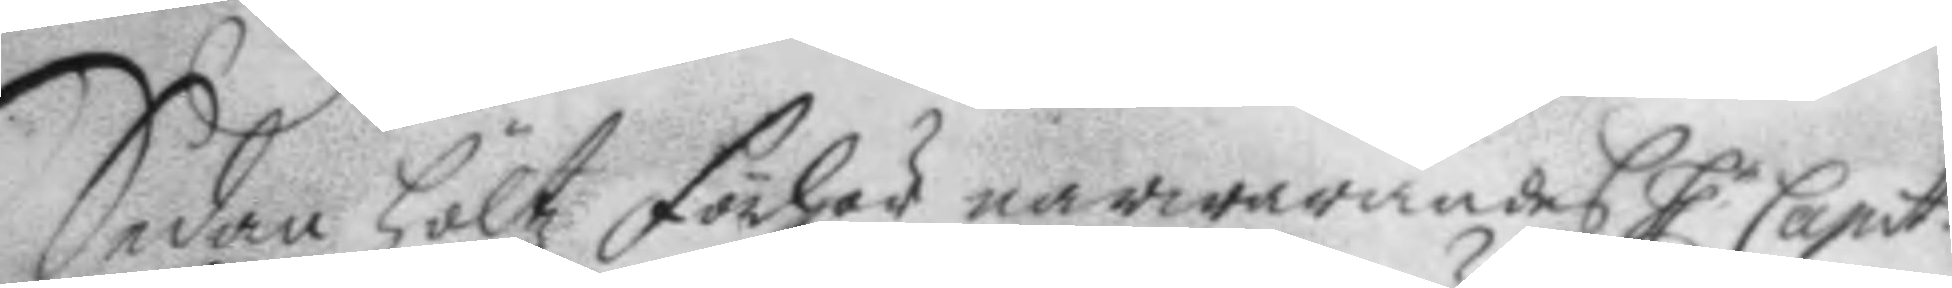Sedan höltz förhör närwarandes h.r Capit.
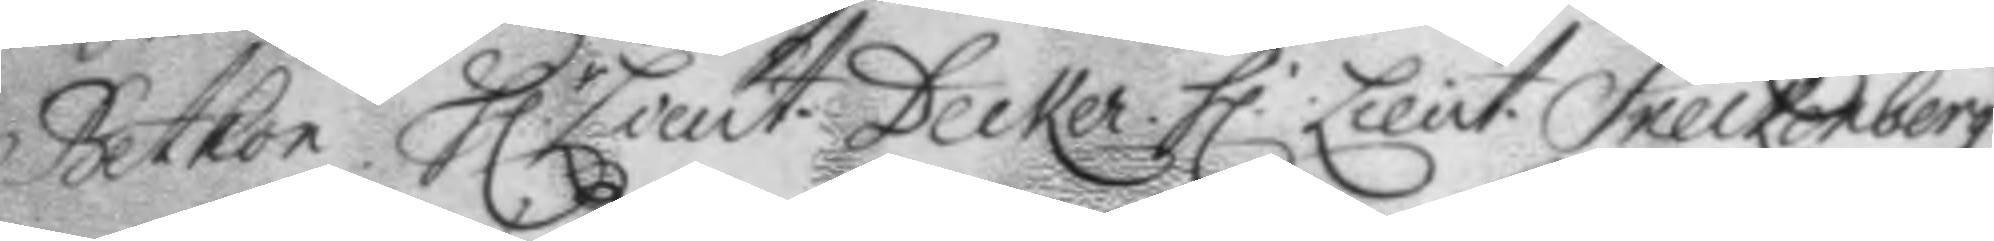Betkon. h.r Lieut. Decker. h.r Lieut. Sneckenberg
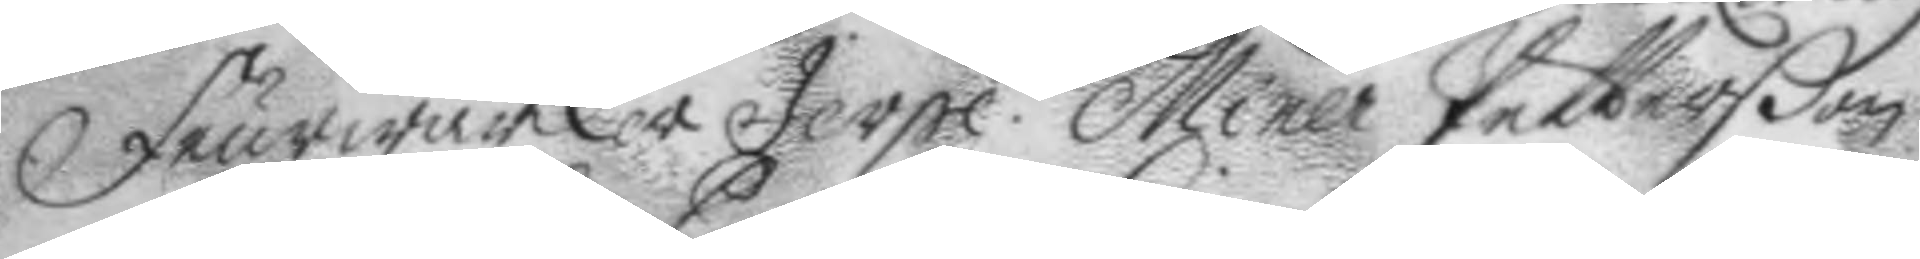Feurwärker Jerpe. Miner Petterßon
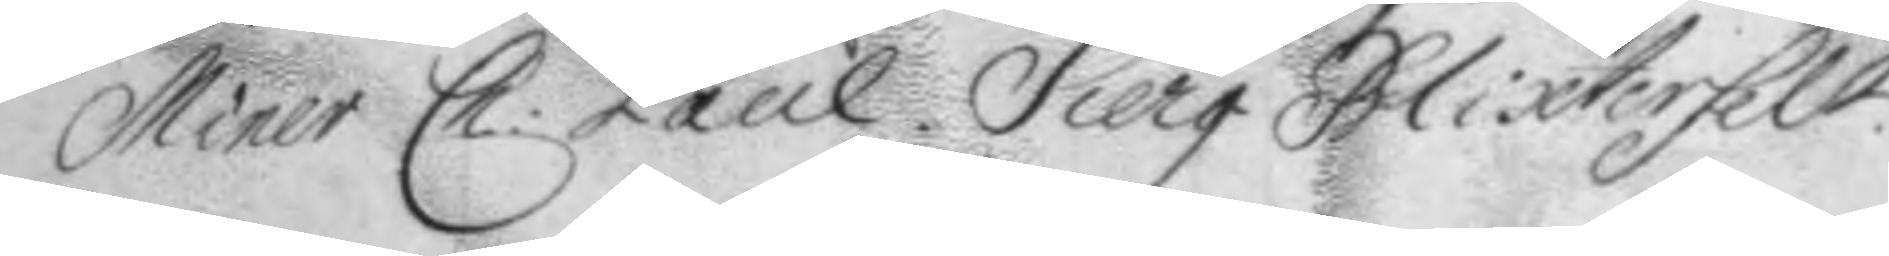Miner Ch: Paul. Sierg. Blixterfelt.
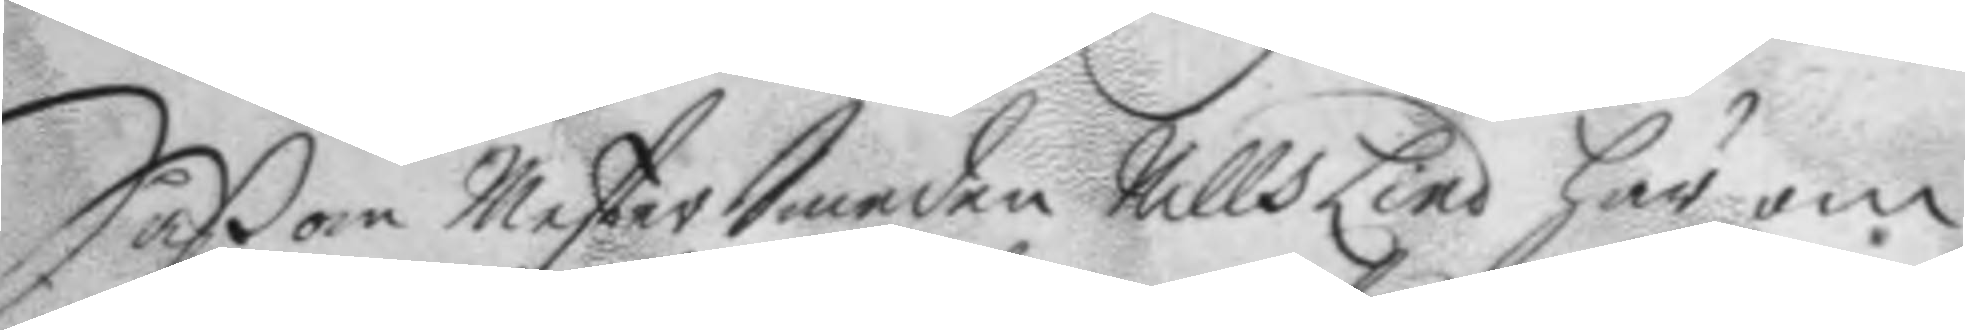Såßom MesterSmeden Nills Lind här om
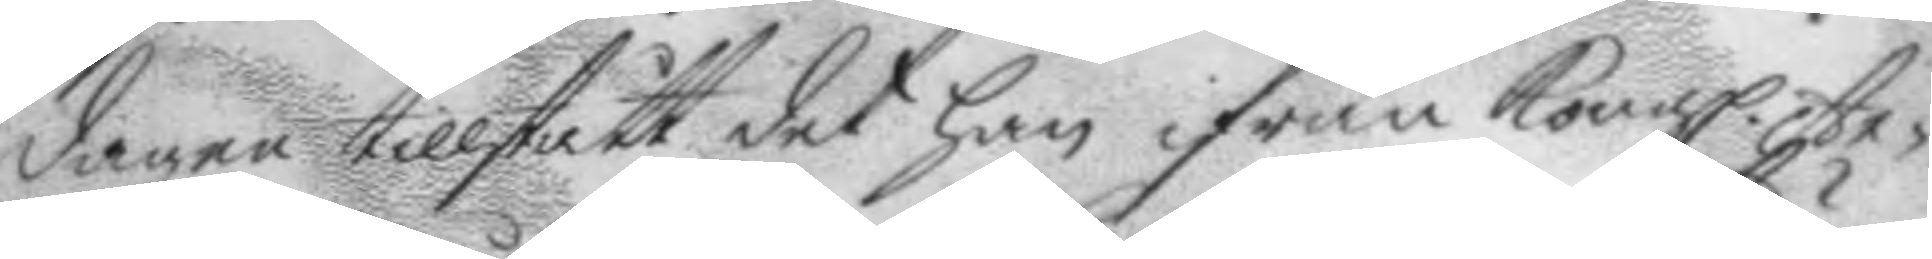dagen tillstått det han ifrån Kongl. Ar¬
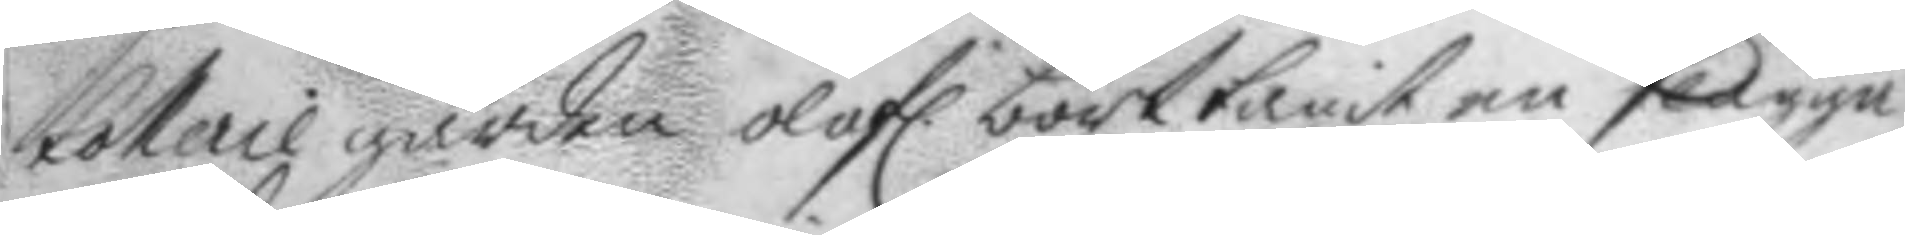tollerie gården olofl. borttagit en slägga
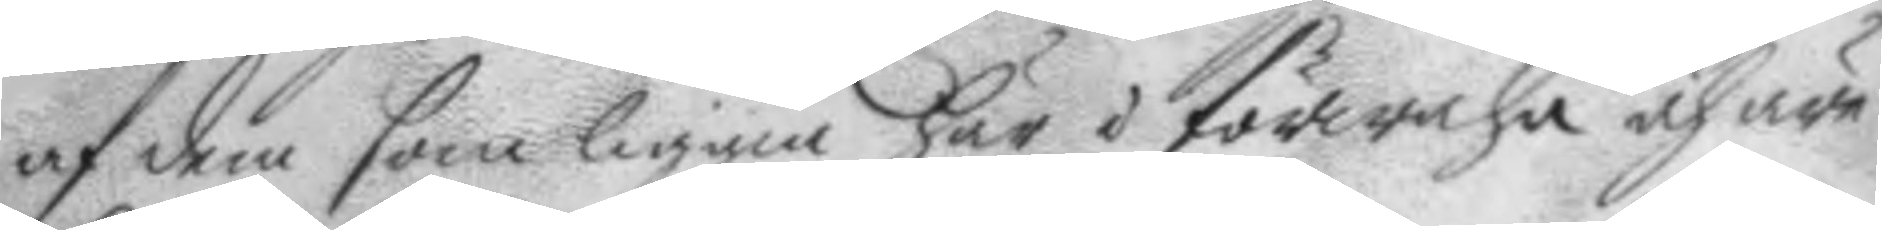och dem som liggia här i förwahr och äre
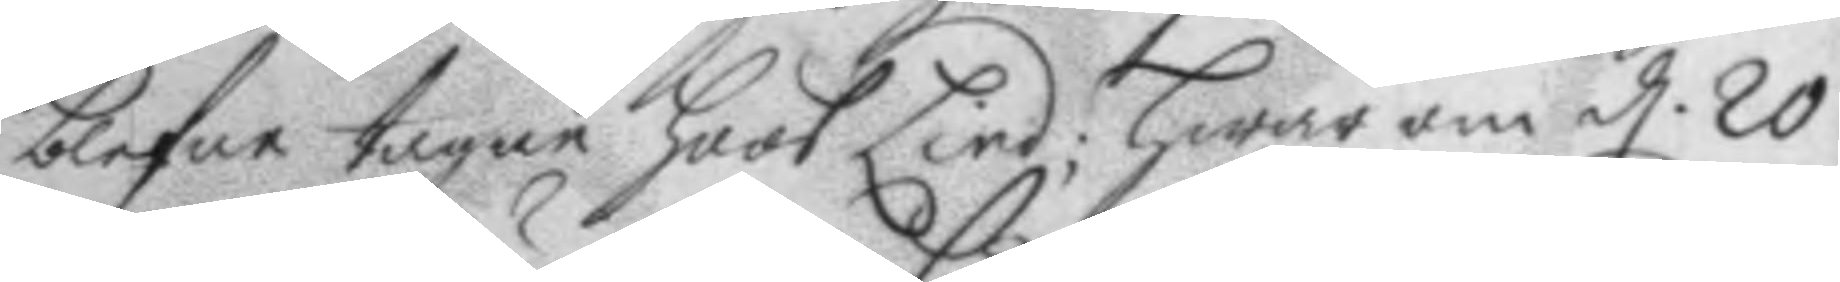blefne tagne hoos Lind; hwar om d. 20
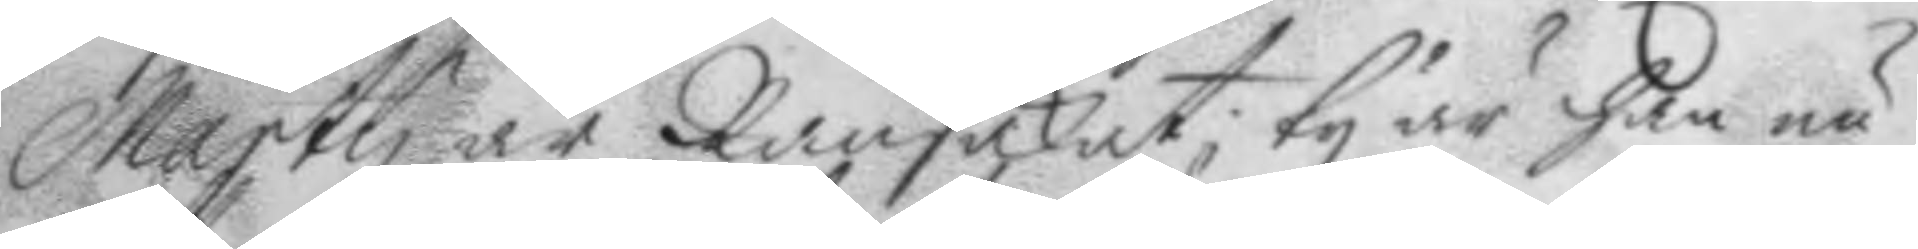Marty är Ransakat; ty är han nu
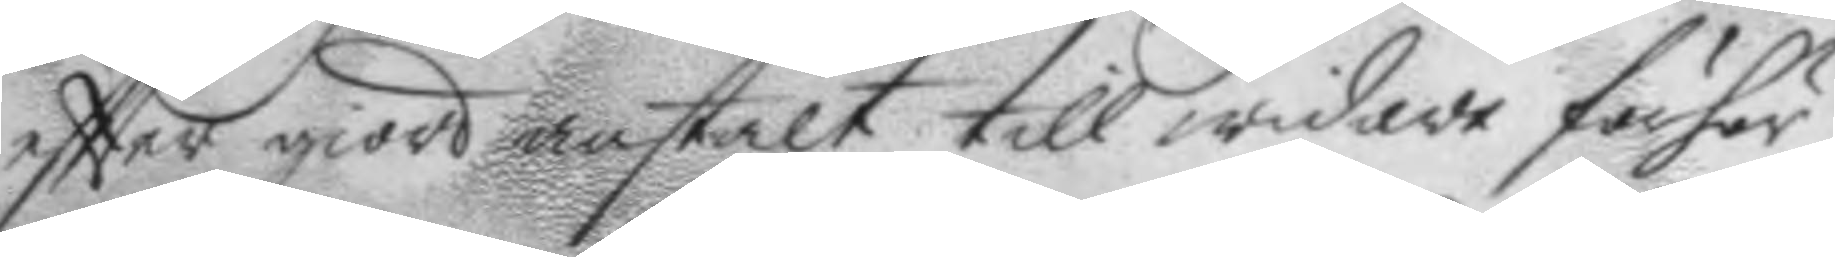eftter giord anstalt till widare förhör
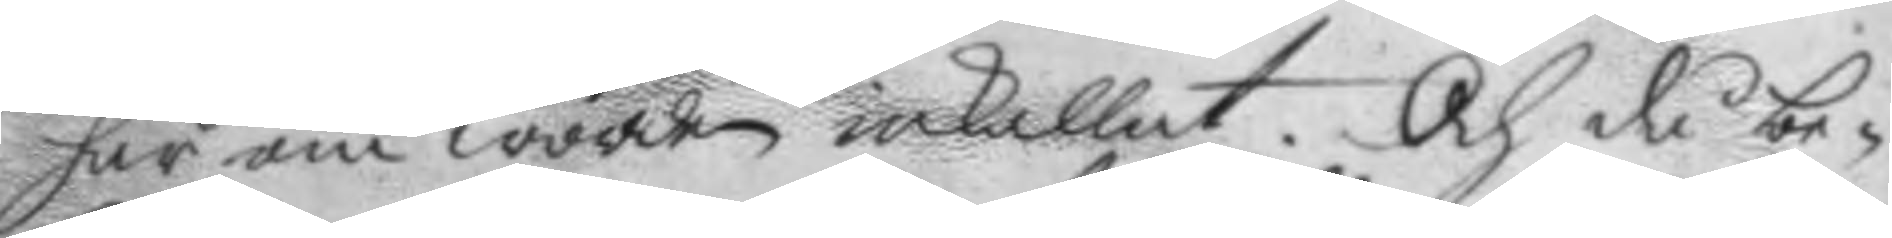här om worden inkallat. och då be¬
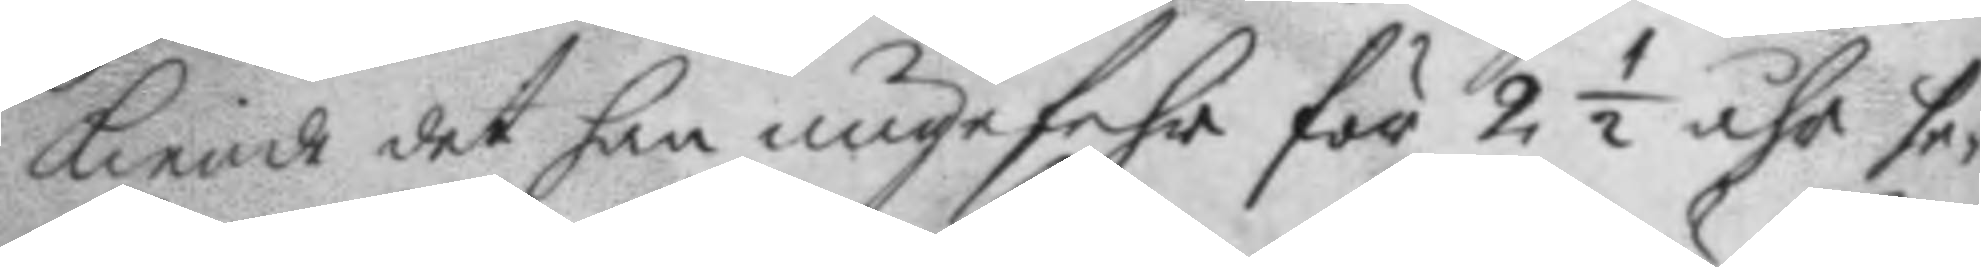kiende det han ungefehr dör 2½ åhr se¬
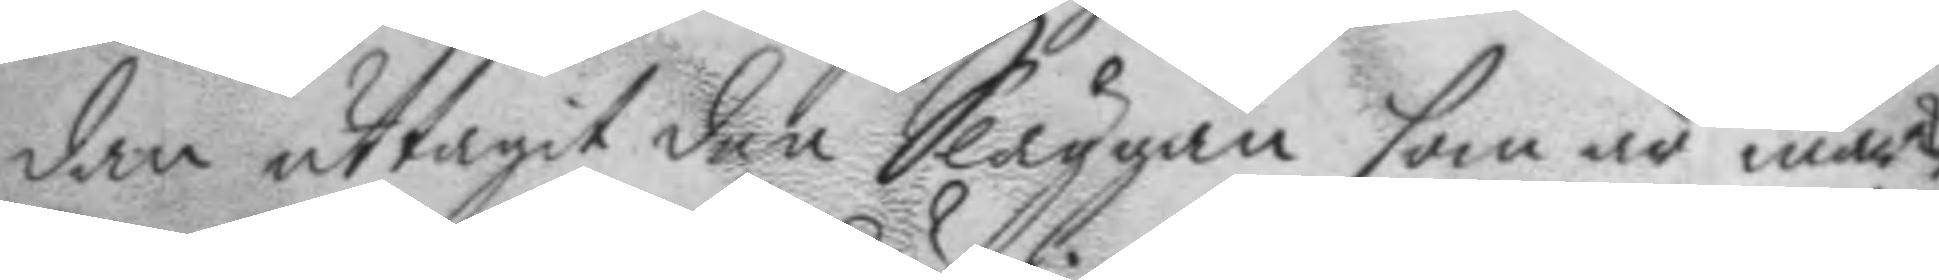dan uttagit den Släggan som är märckt
